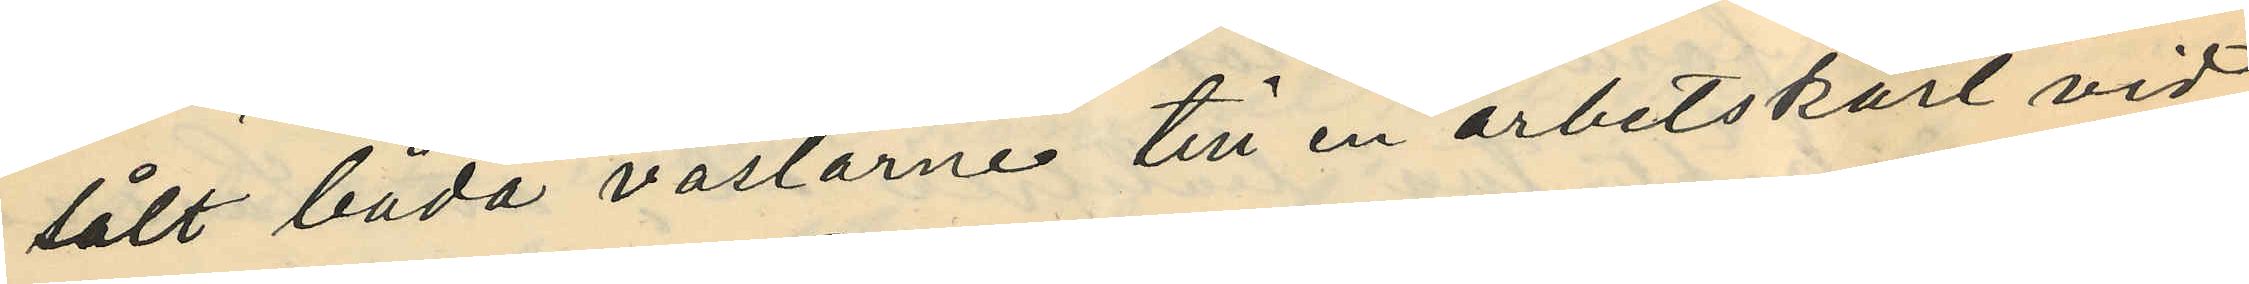sålt båda västarne till en arbetskarl vid
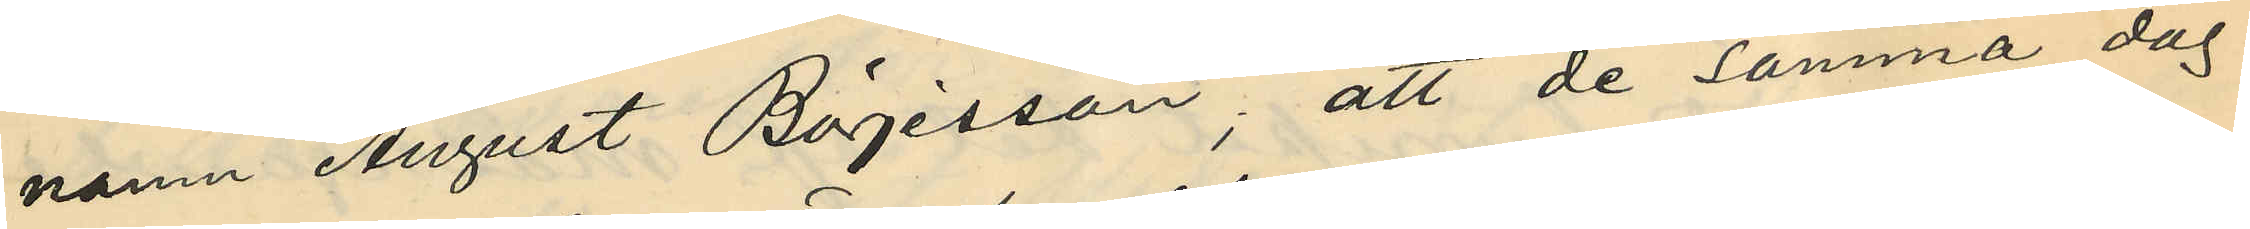namn August Böjesson; att de samma dag
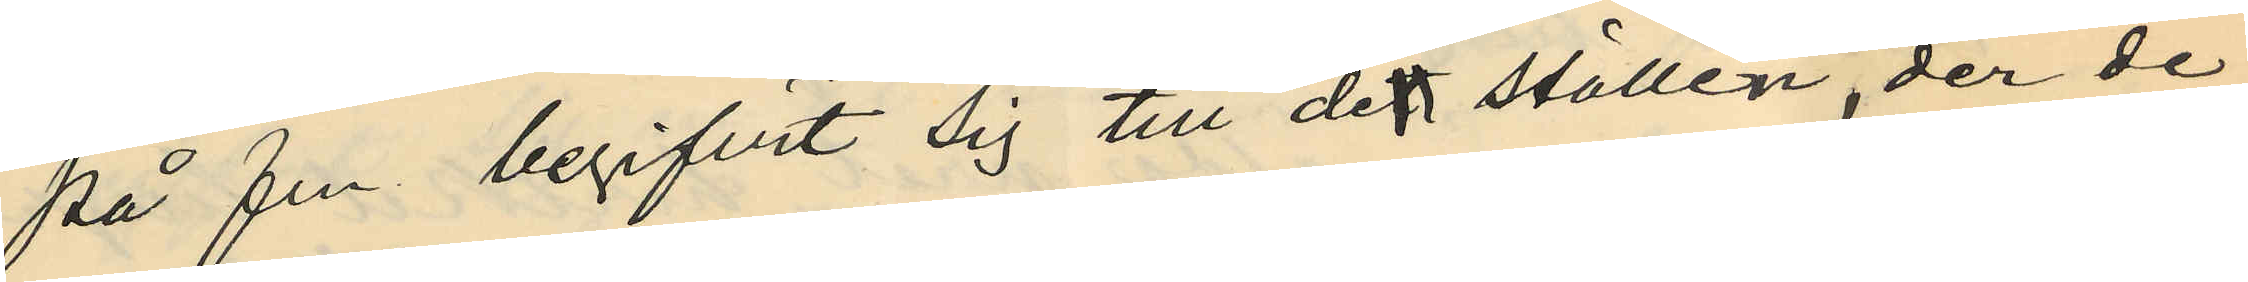på fm. begifvit sig till de ställen der de
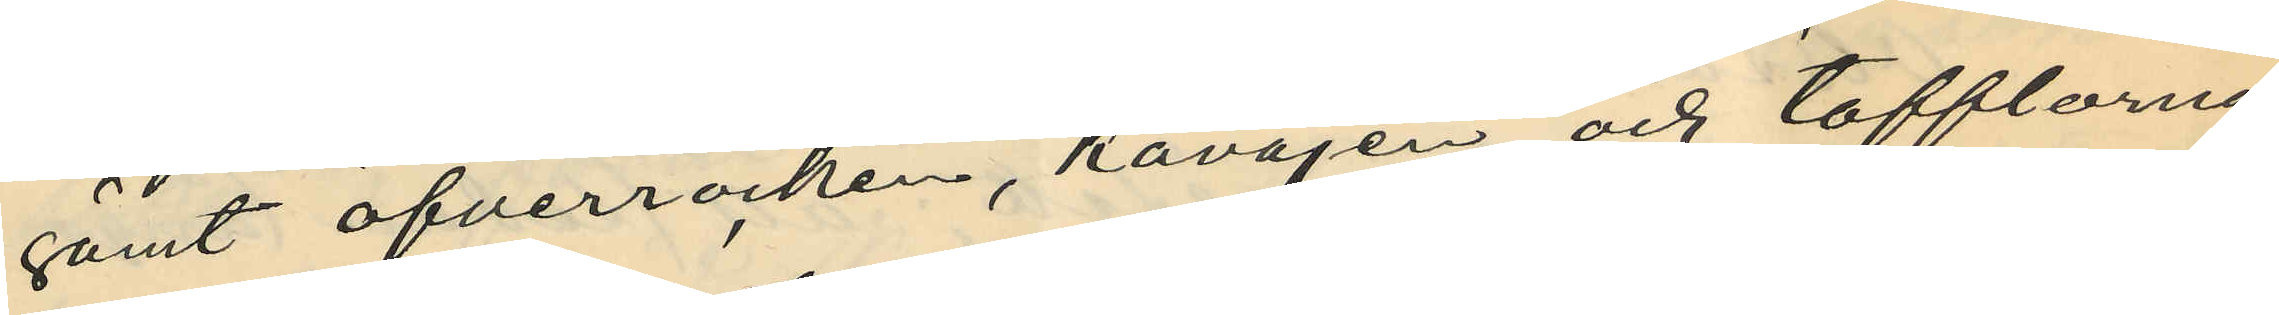gömt öfverrocken, kavajen och tofflarna
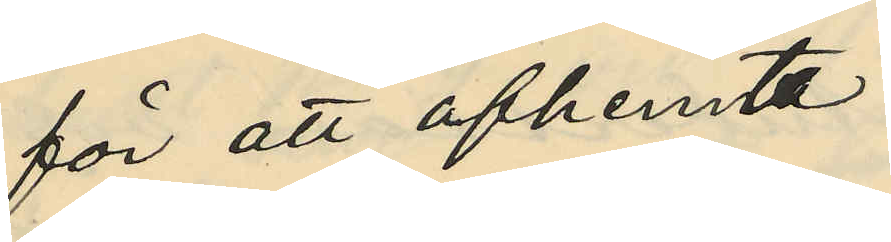för att afhemta
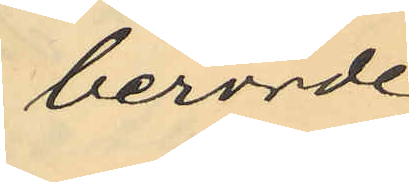berörde
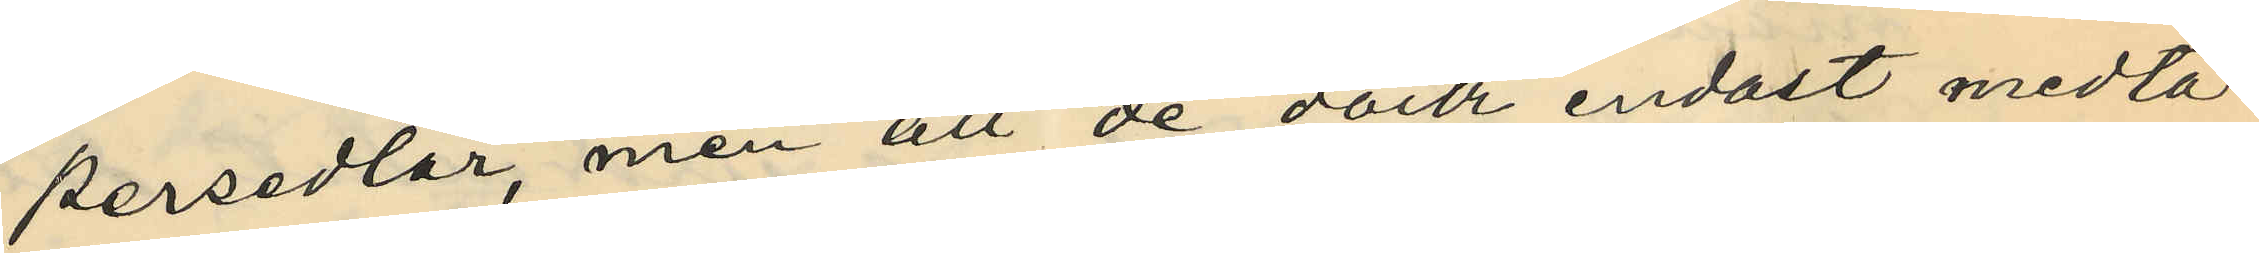persedlar, men att de dock endast medta¬
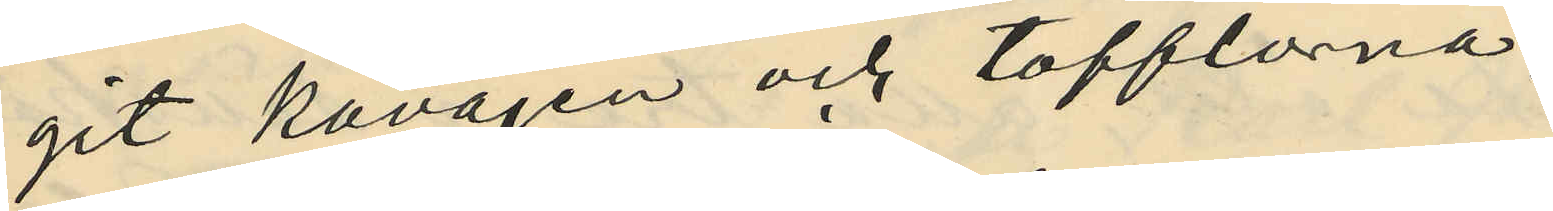git kavajen och tofflorna,
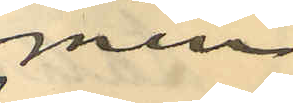men
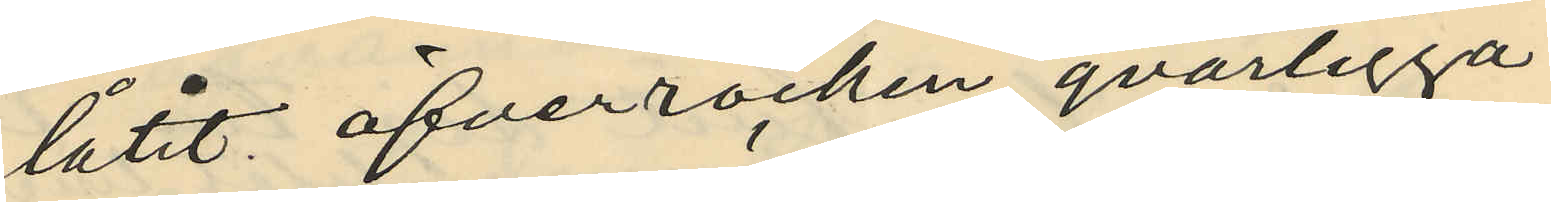låtit öfverrocken qvarligga;
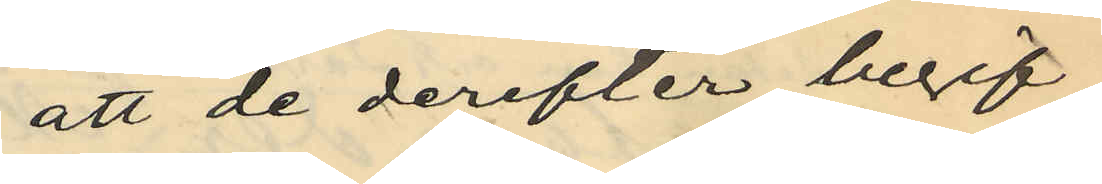att de derefter begif¬
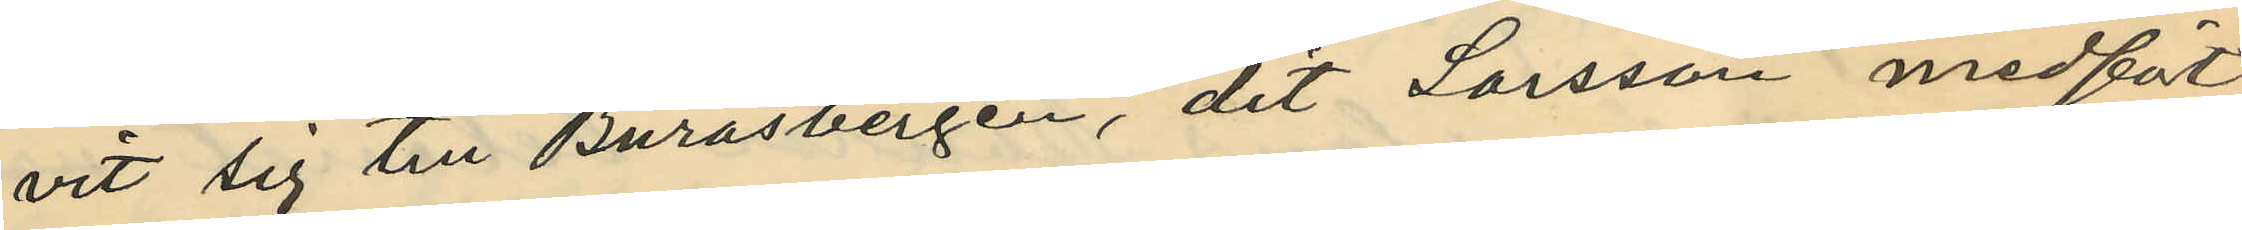vit sig till Buråsbergen, dit Larsson medfört
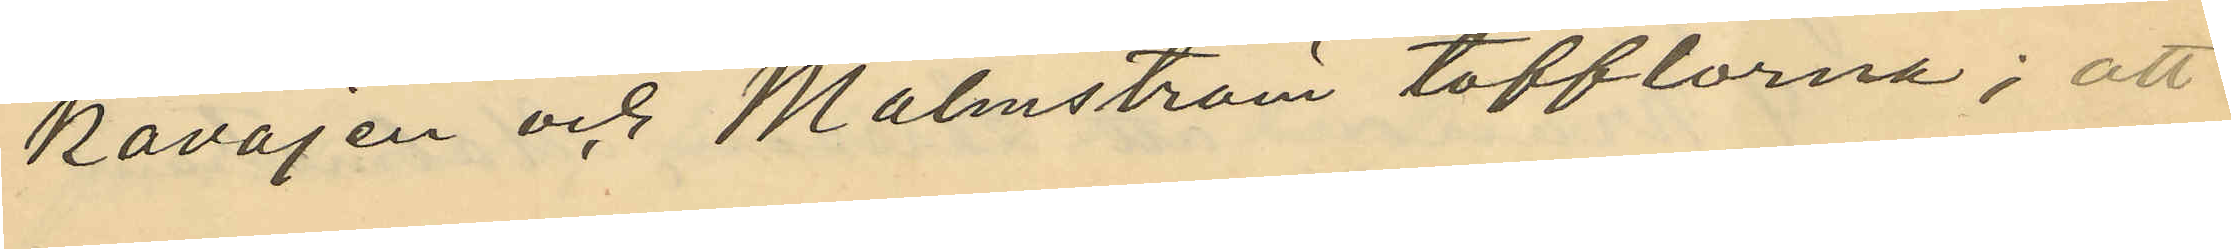kavajen och Malmström tofflorna; att
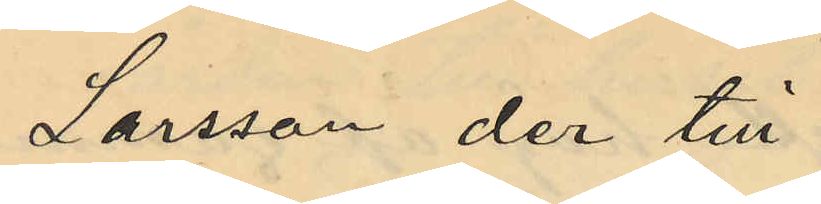Larsson der till
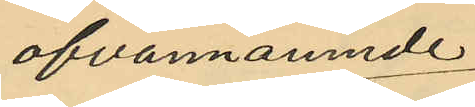ofvannämnde
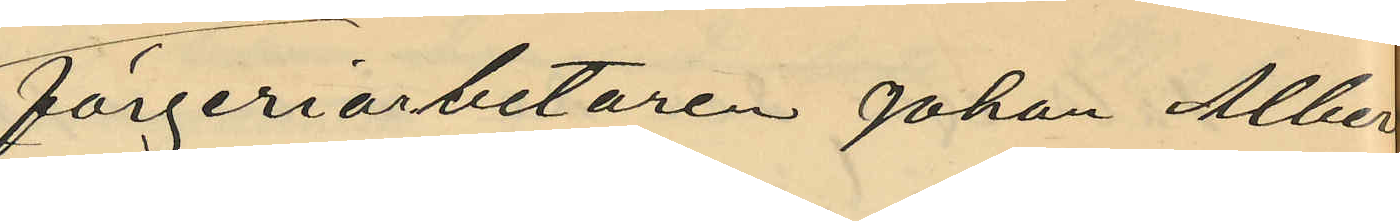färgeriarbetaren Johan Alberg
